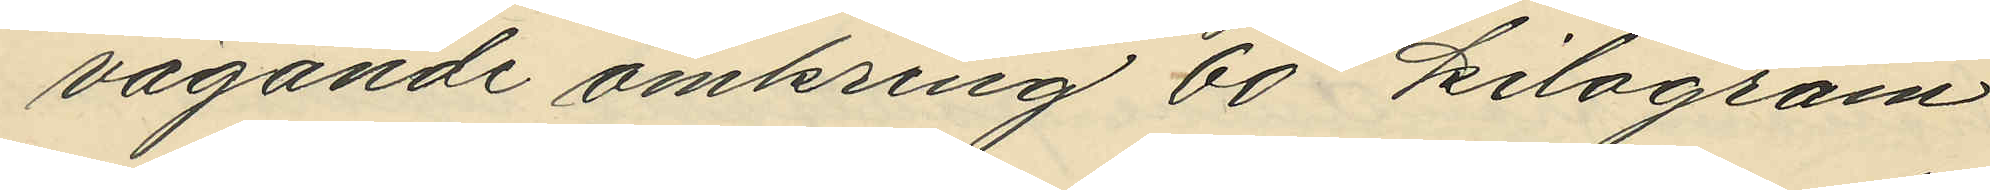vägande omkring 60 kilogram
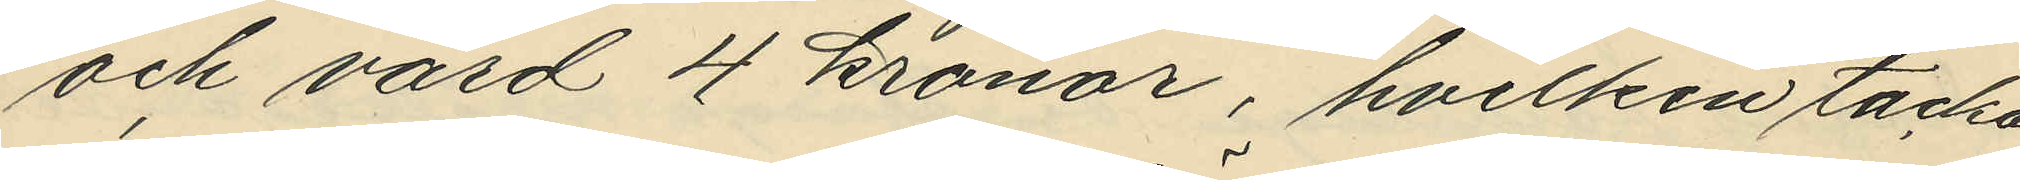och värd 4 kronor, hvilken tacka
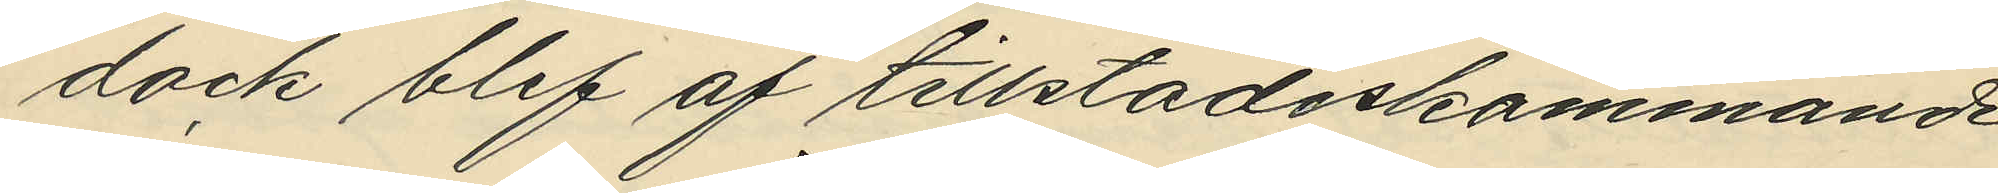dock blef af tillstädeskommande
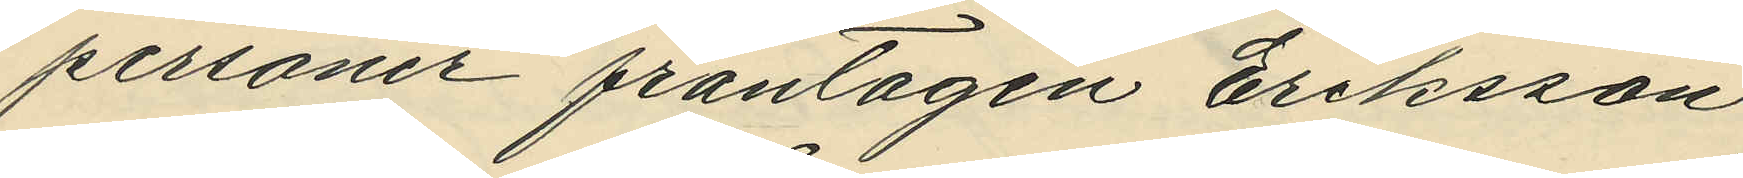personer fråntagen Eriksson
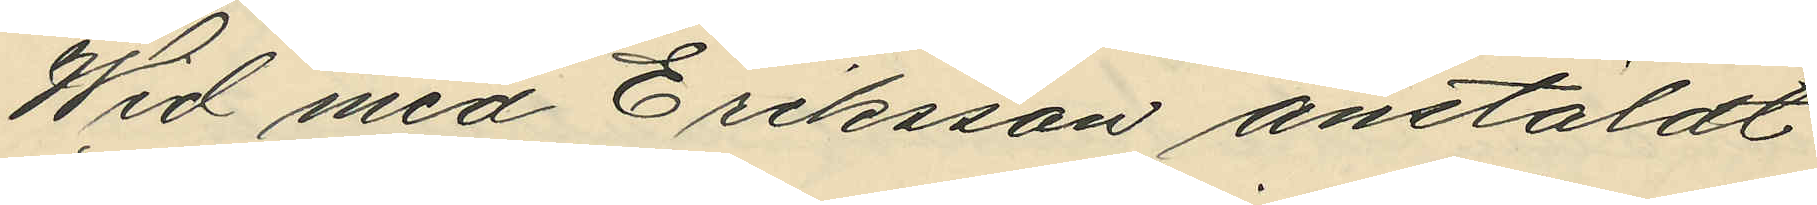Wid med Eriksson anstäldt
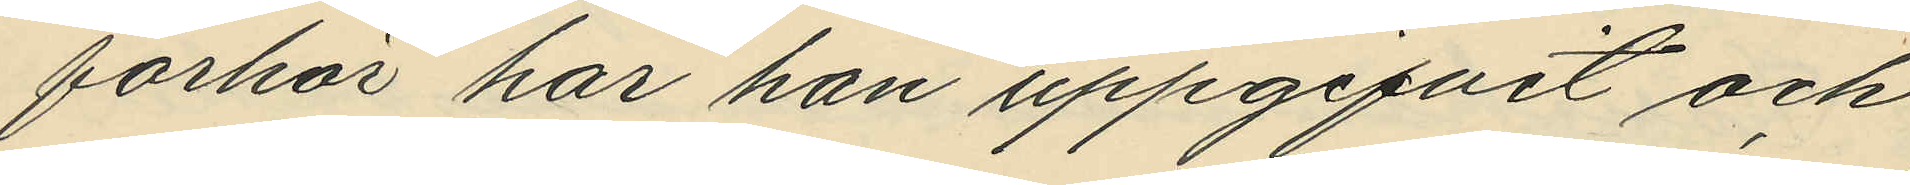förhör har han uppgifvit och
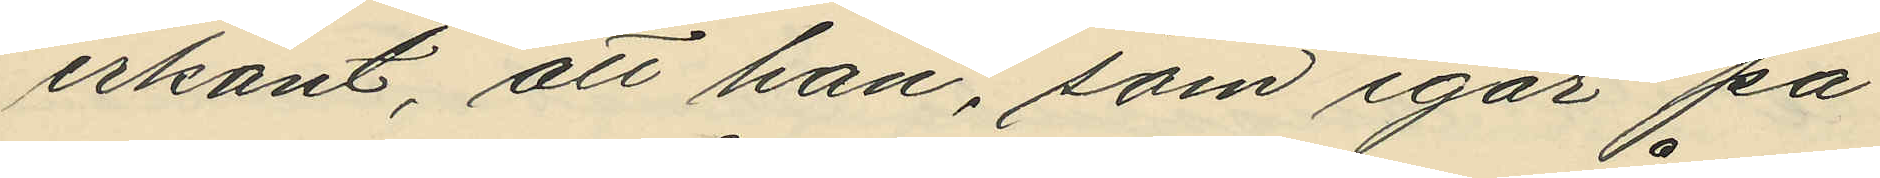erkänt, att han, som igår på
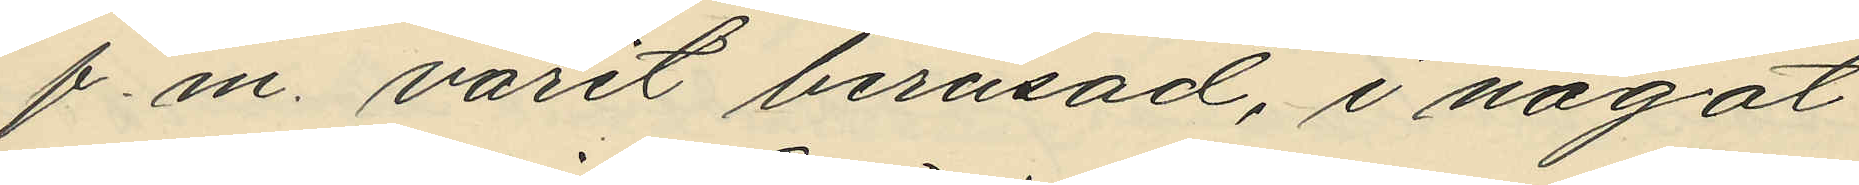f. m. varit berusad, i något
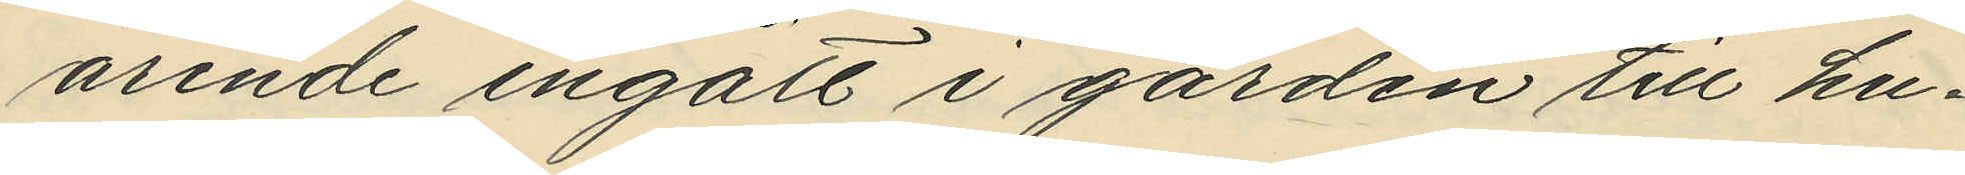ärende ingått i gården till hu¬
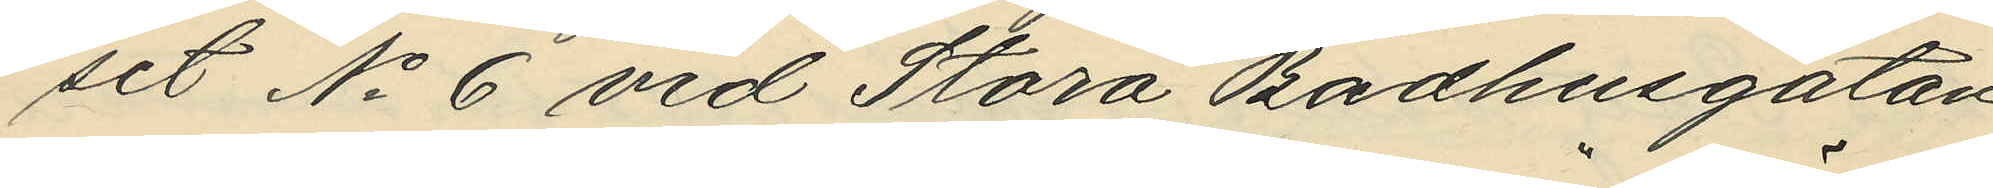set No 6 vid Stora Badhusgatan
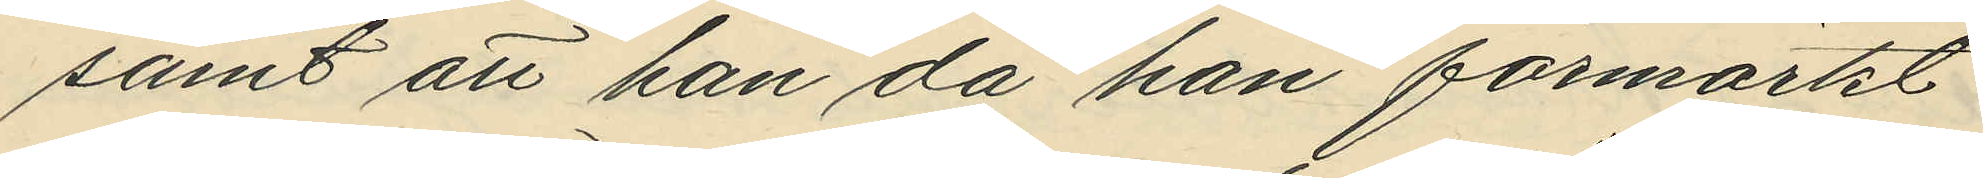samt att han då han förmärkt
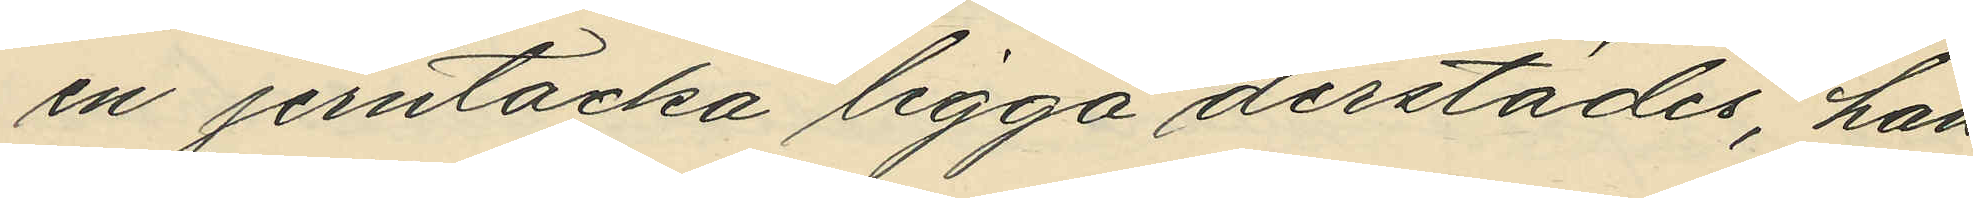en jerntacka ligga derstädes, han
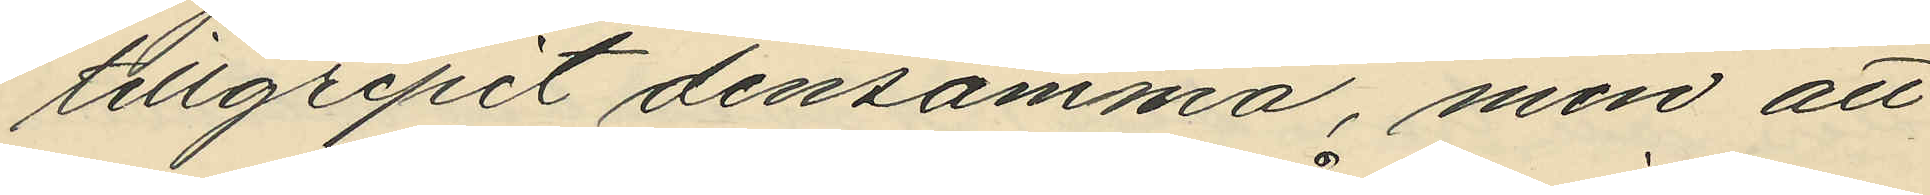tillgripit densamma, men att
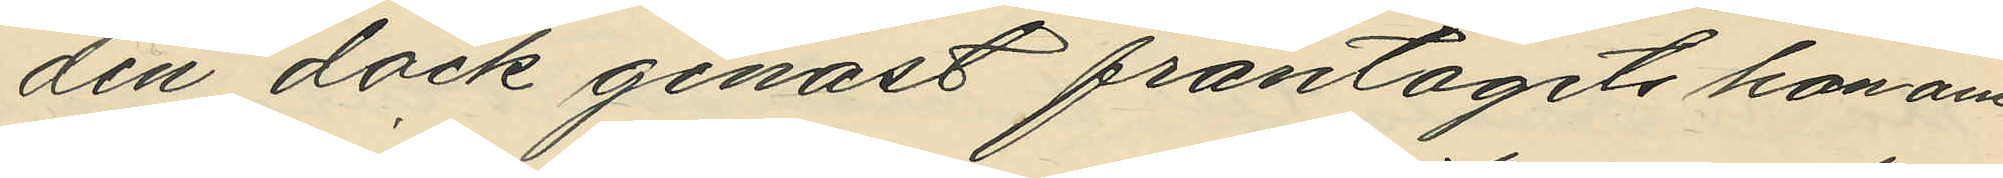den dock genast fråntagits honom
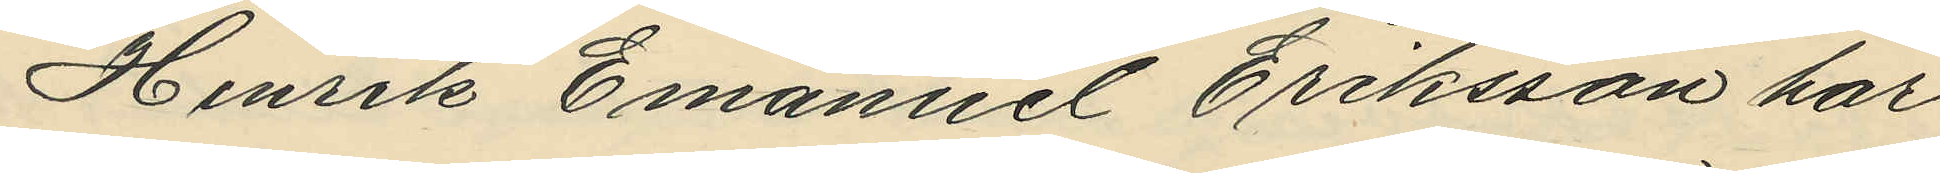Henrik Emanuel Eriksson har
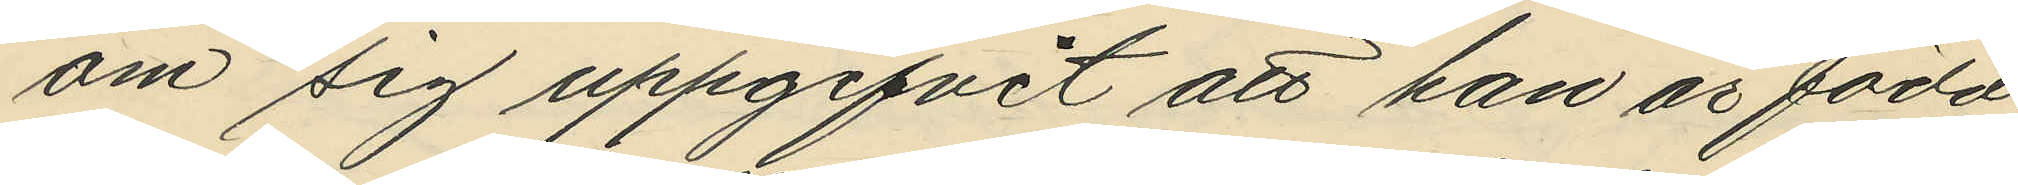om sig uppgifvit att han är född
